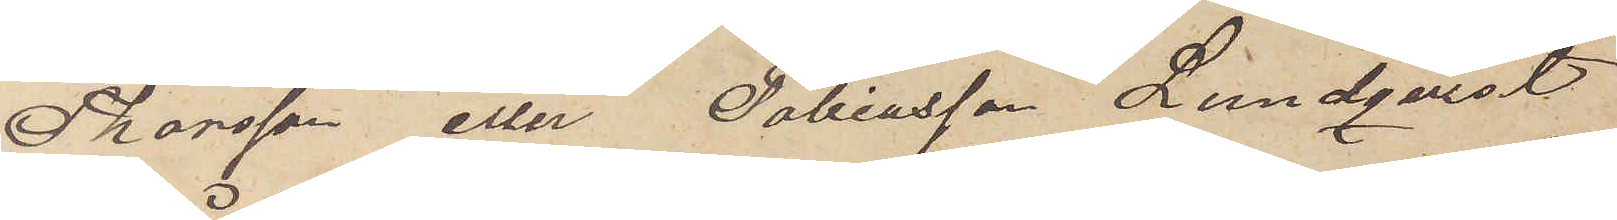Thorsson eller Tobiasson Lundqvist
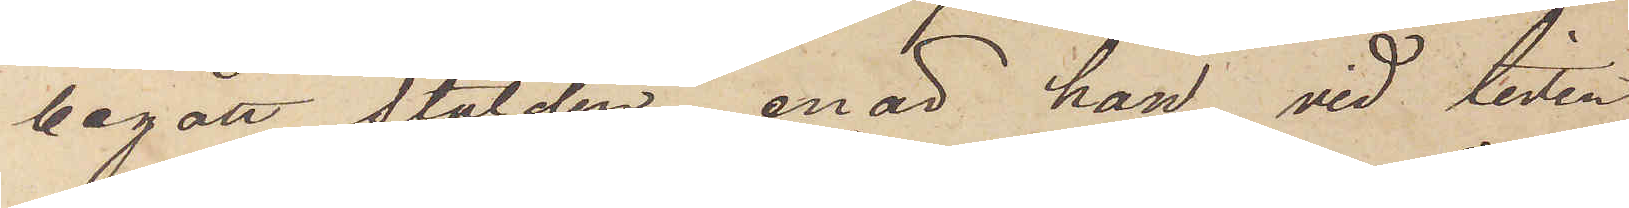begått stölden, enär han vid tiden
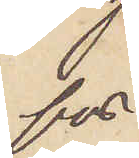för
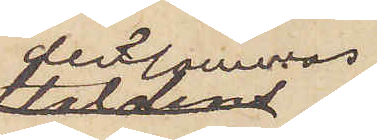densammas
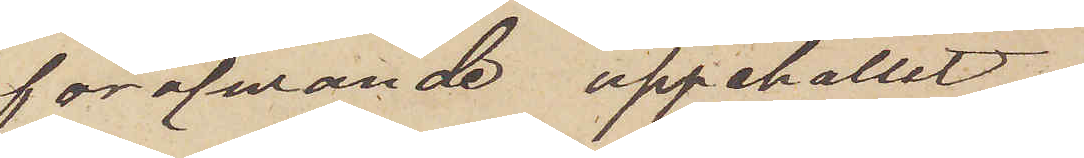föröfvande uppehållit
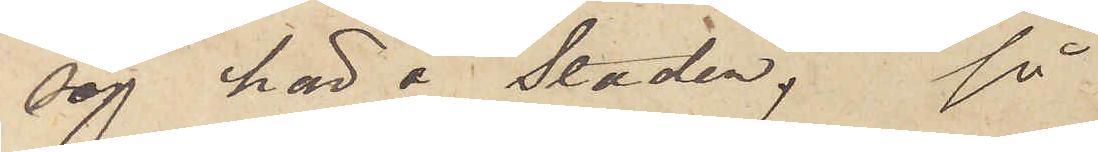sig här i staden, så
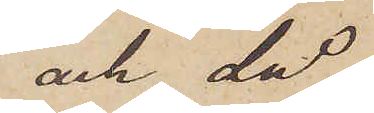och då
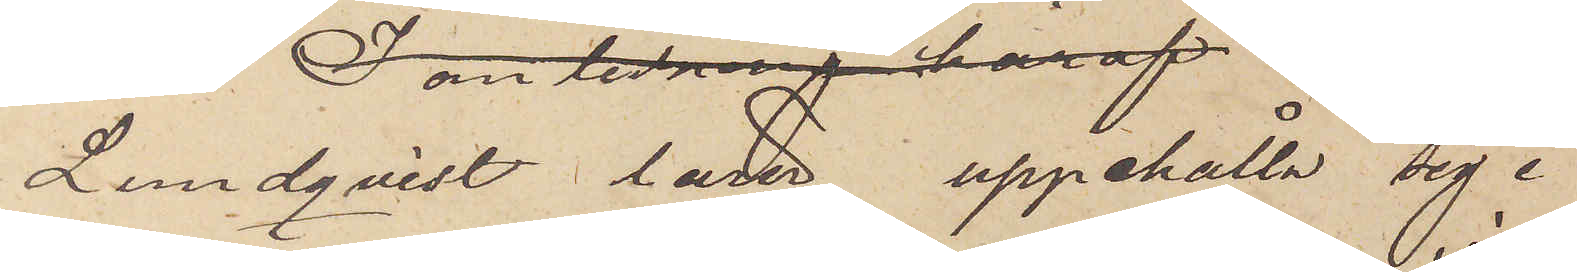Lundqvist lärer uppehålla sig i 
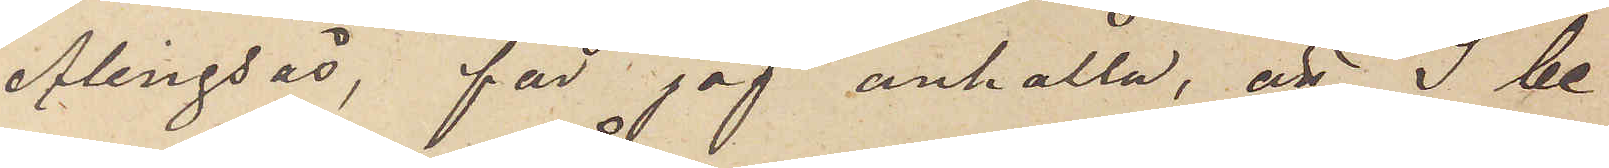Alingsås, får jag anhålla, att I be¬
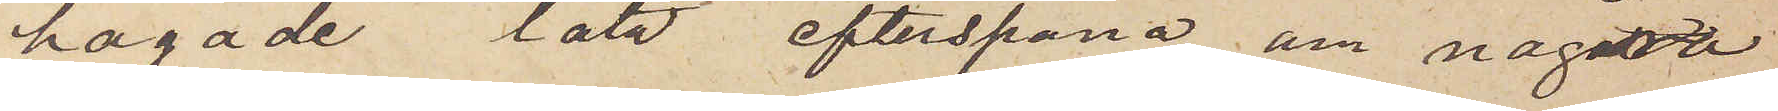hagade låta efterspana om några
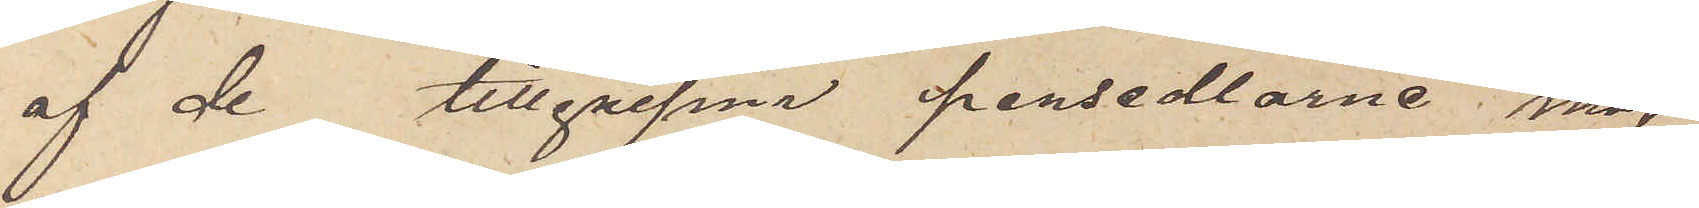af de tillgripne persedlarne möj¬
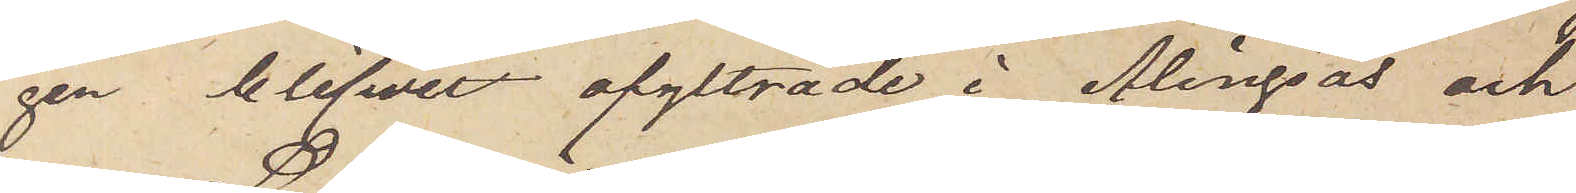gen blifvit afyttrade i Alingsås och
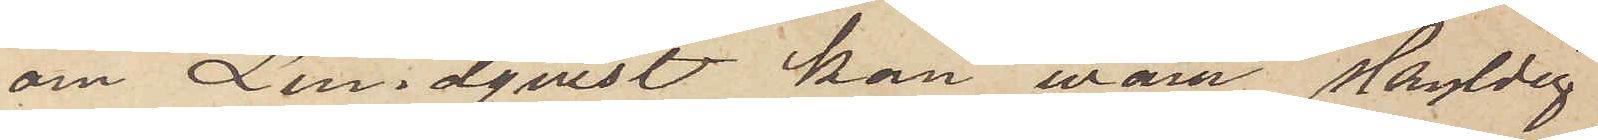om Lundqvist kan vara skyldig
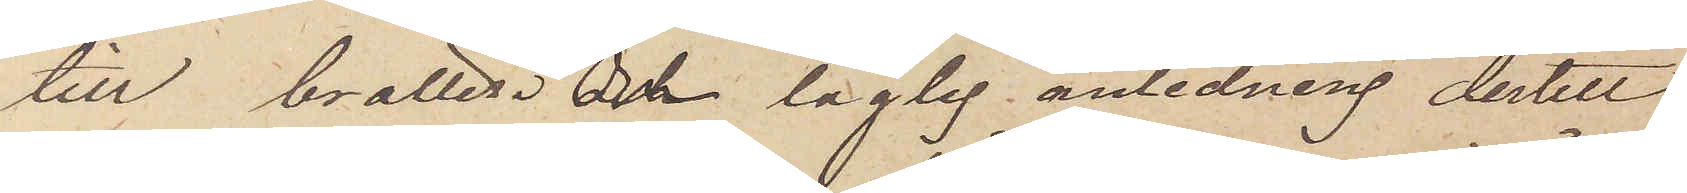till brottet. Om laglig anledning dertill
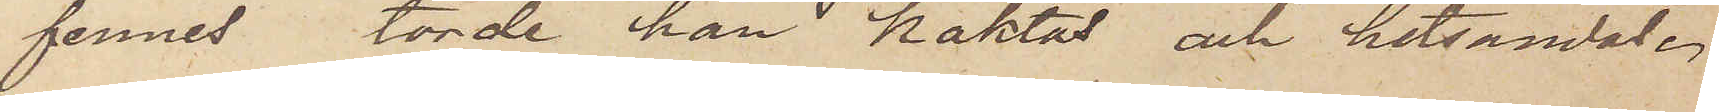finnes torde han häktas och hitsändas.
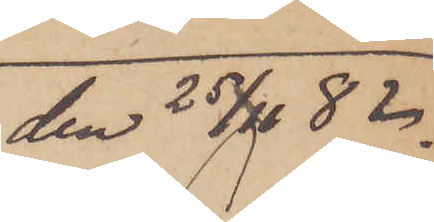den 25/11 82
